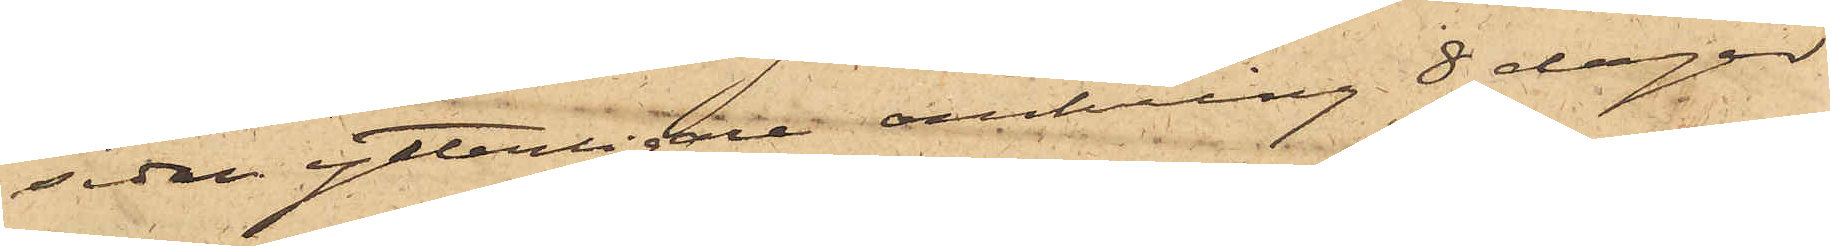sedan ytterligare omkring 8 dagar
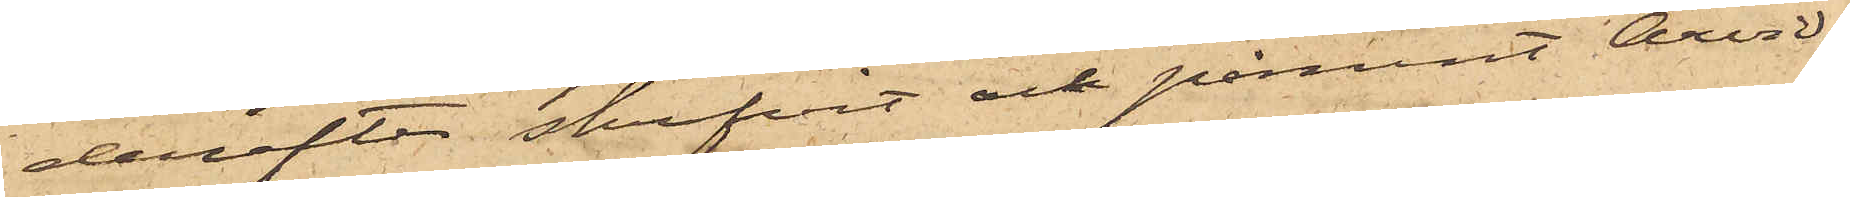derefter skrifvit och påmint Arvids¬
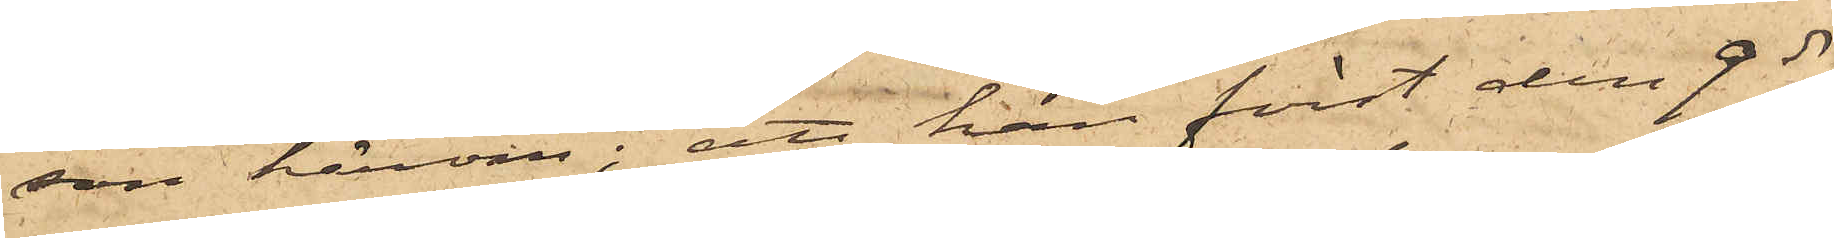son härom; att han först den 9 ds
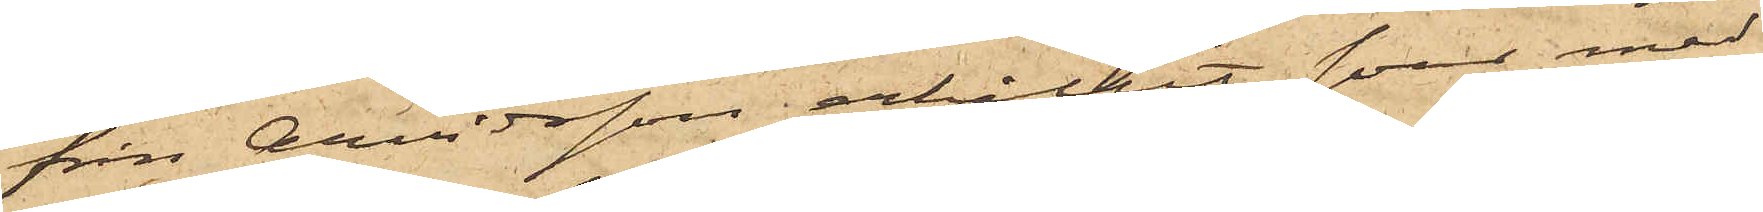från Arvidsson erhållit svar med
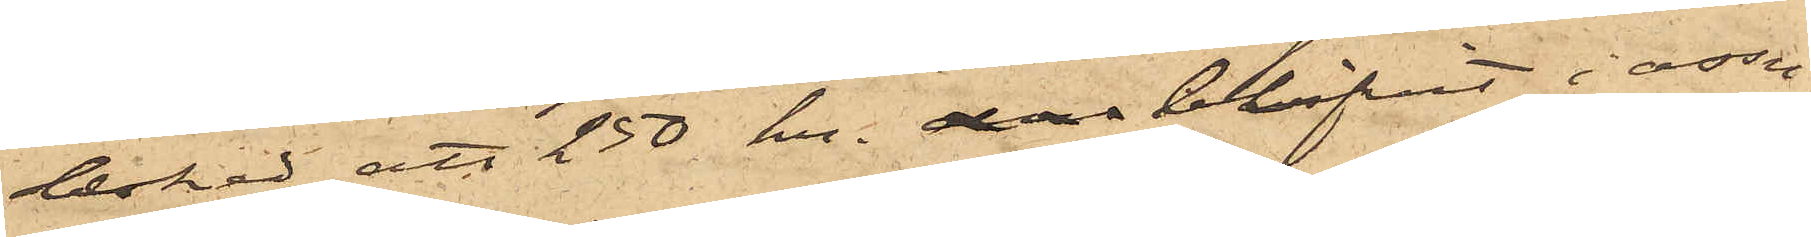besked, att 250 kr. som blifvit i assu¬
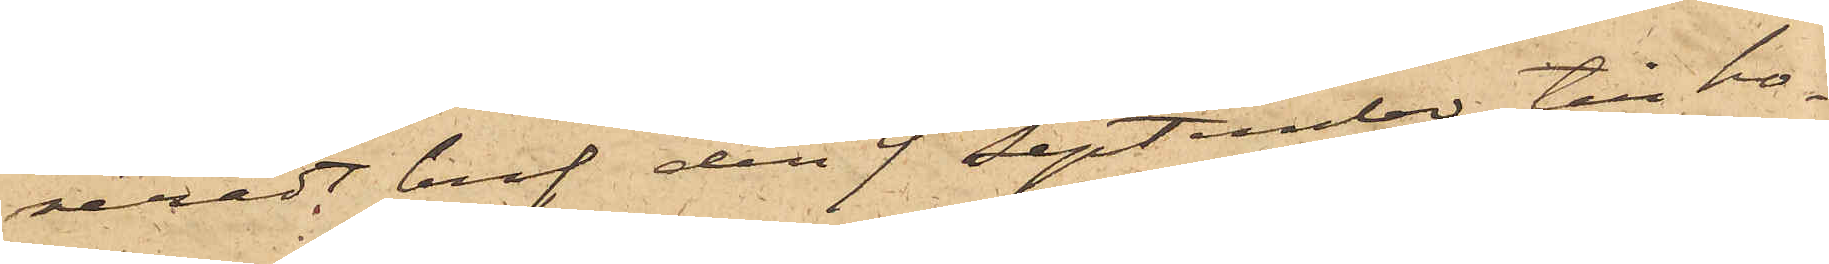reradt bref den 9 September till ho¬
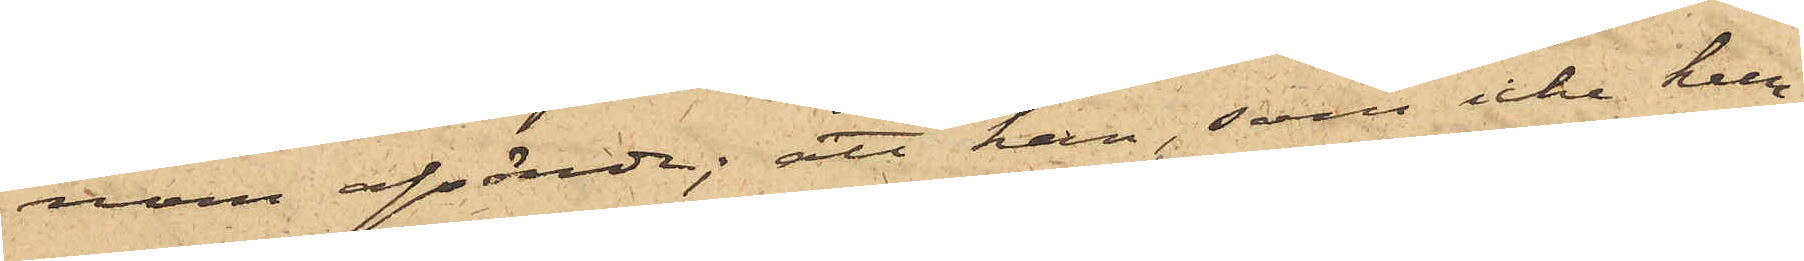nom afsände; att han, som icke kun¬
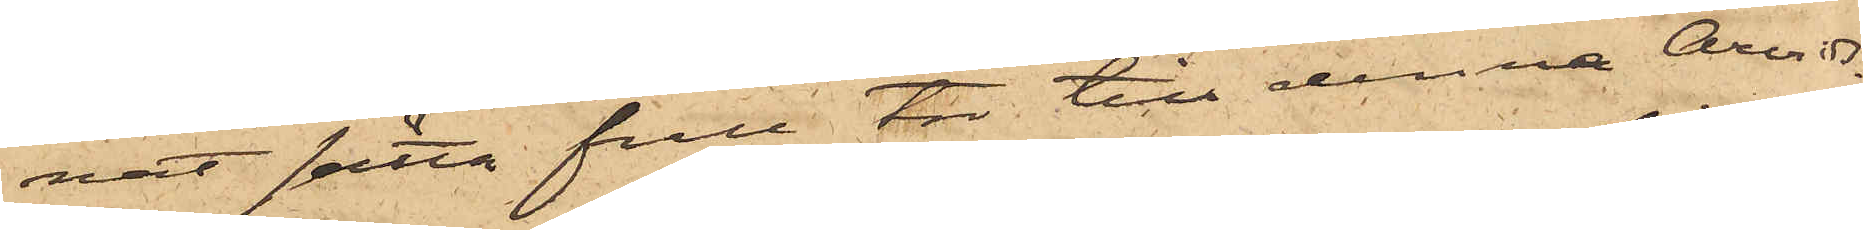nat sätta full tro till denna Arvids¬
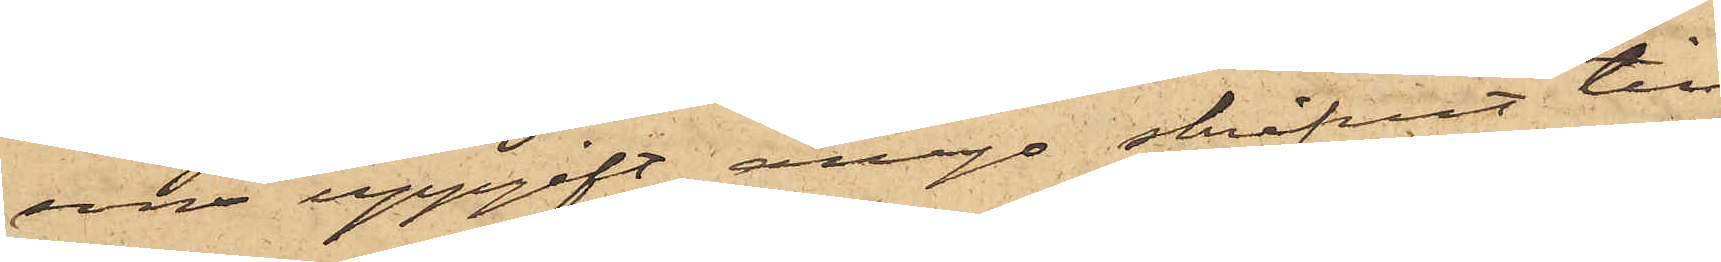sons uppgift, ånyo skrifvit till
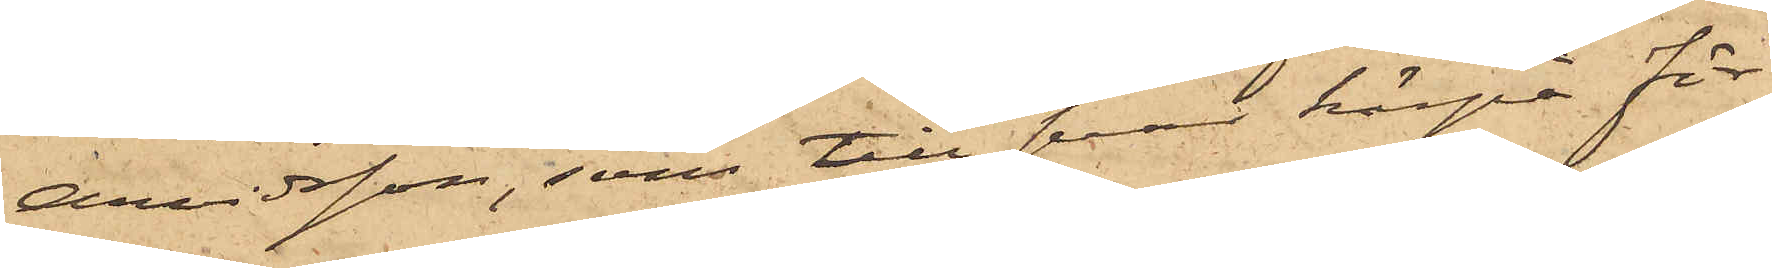Arvidsson, som till svar härpå för¬
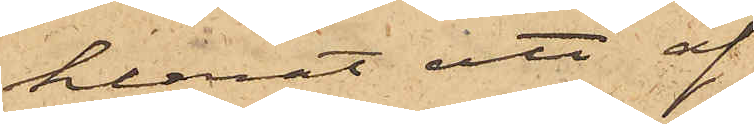klarat att af
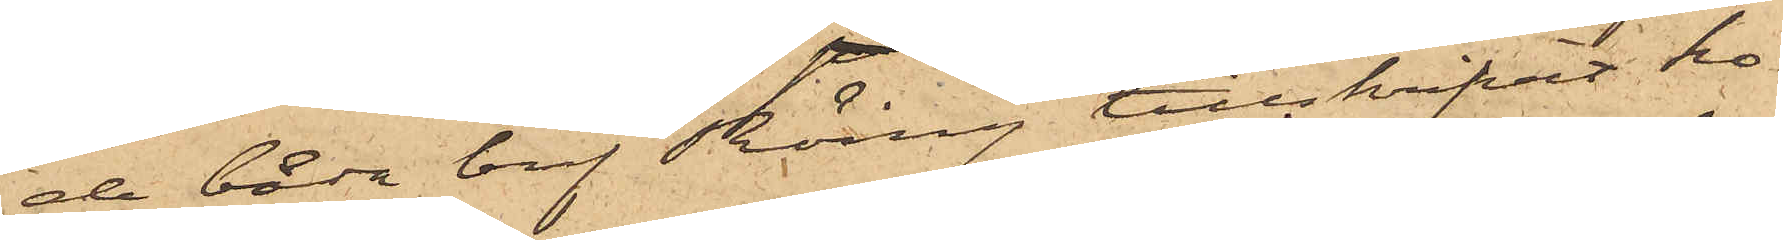de båda bref Röing tillskrifvit ho¬
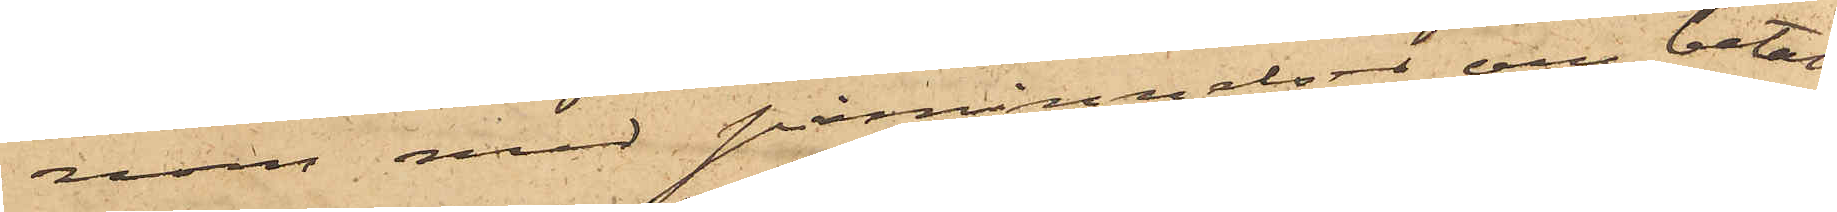nom med påminnelser om betal¬
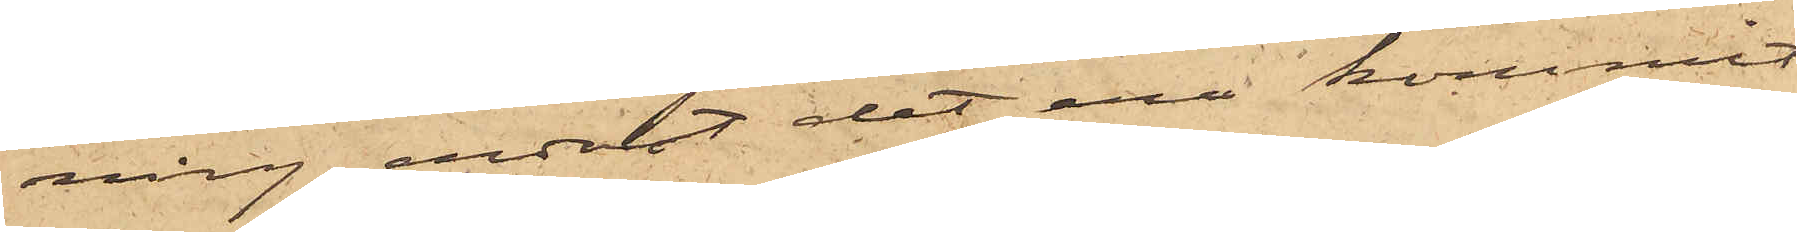ning endast det ena kommit
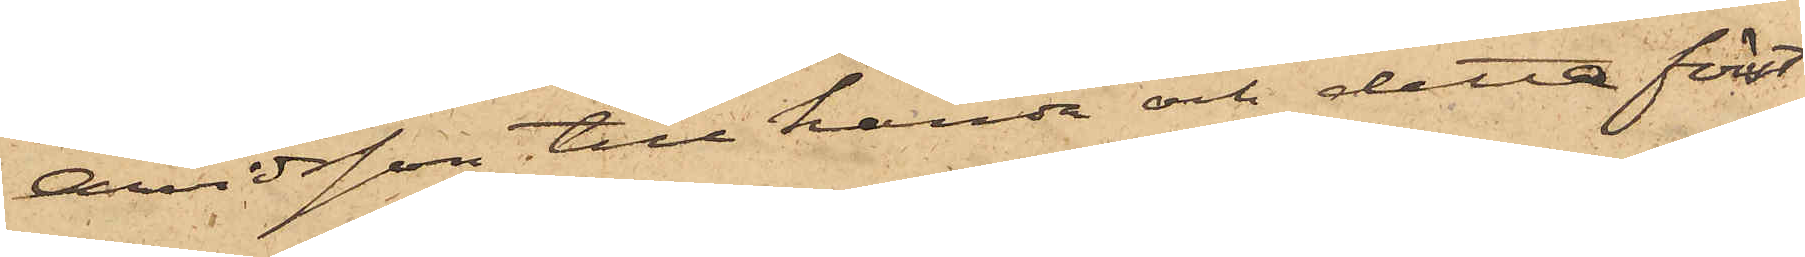Arvidsson till handa och detta först
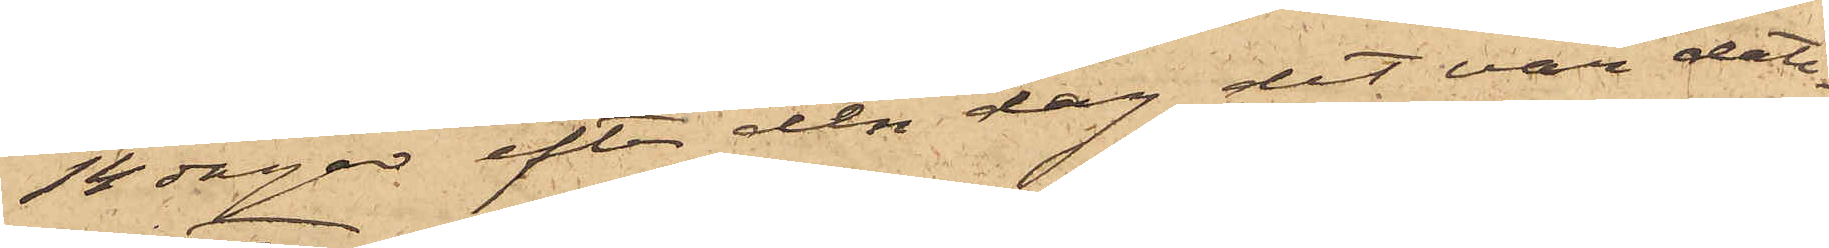14 dagar efter den dag det var date¬
